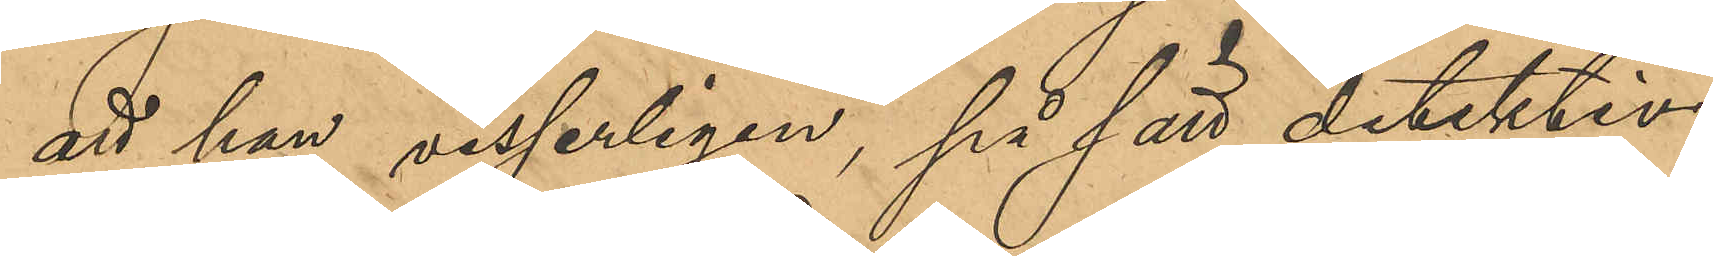att han visserligen, på sätt detektiv¬
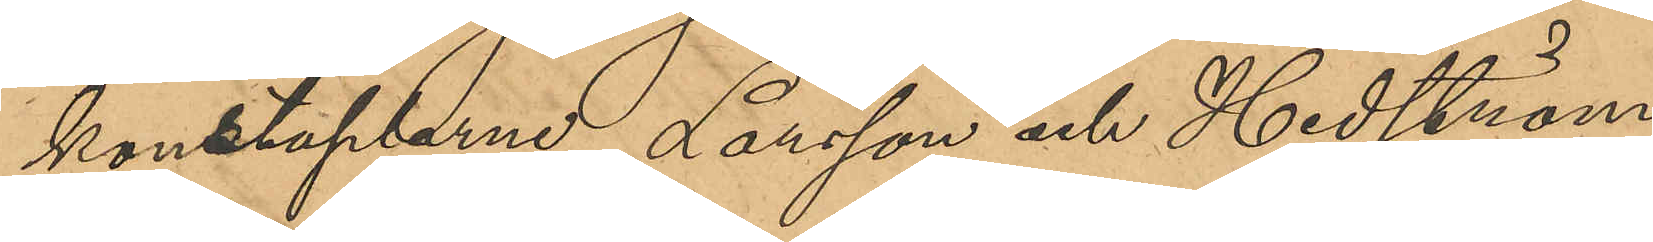konstaplarne Larsson och Hedström
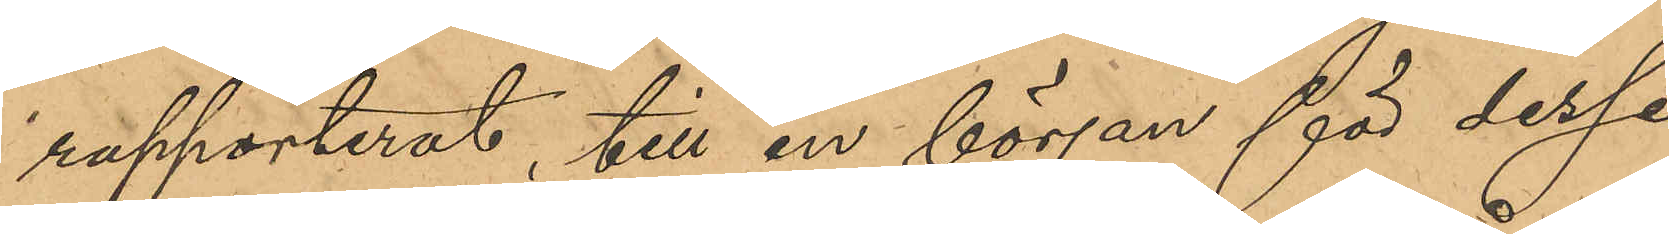rapporterat, till en början för desse
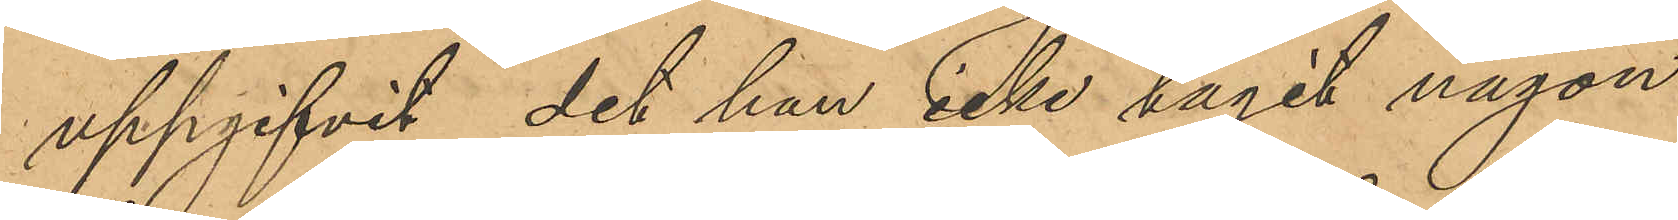uppgifvit det han icke tagit någon
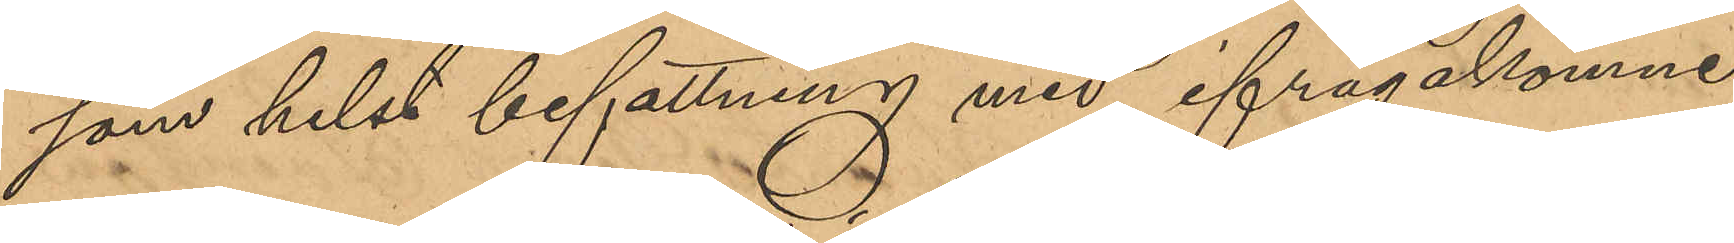som helst befattning med ifrågakomne
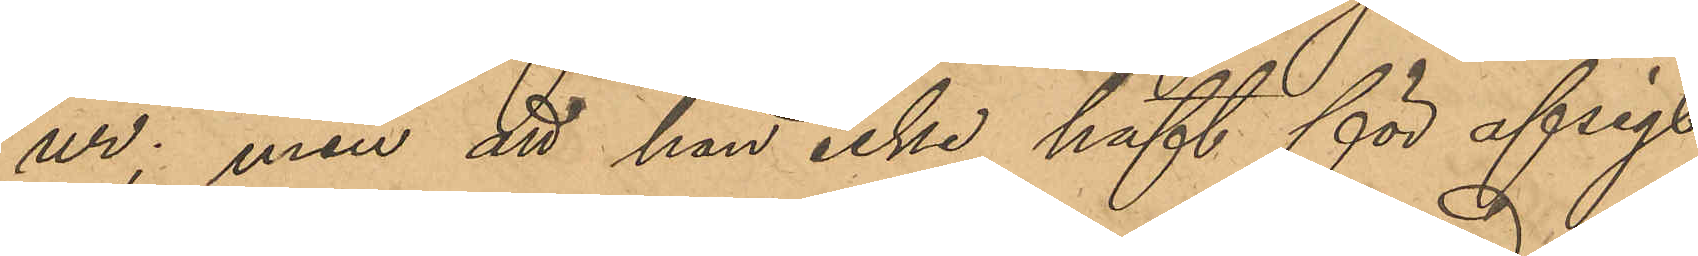ur; men att han icke haft för afsigt
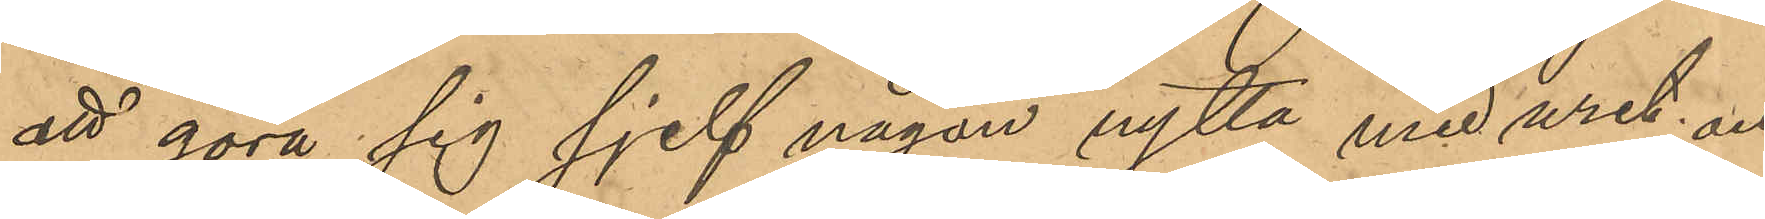att göra sig sjelf någon nytta med uret; och
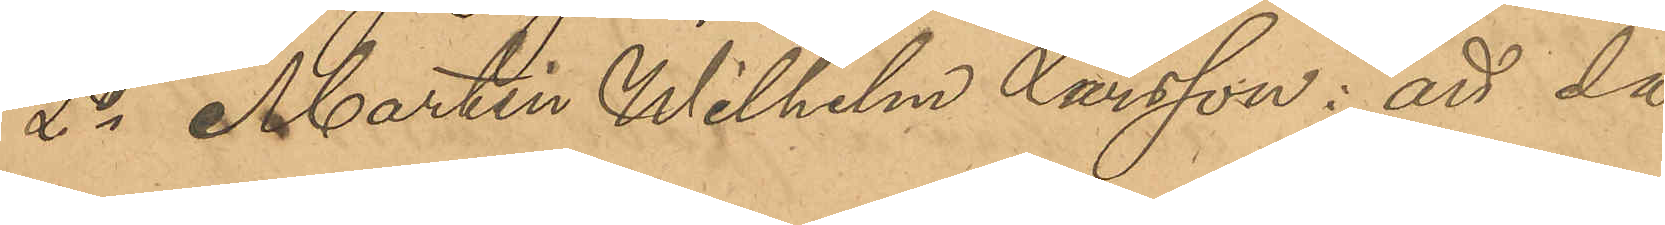2o Martin Wilhelm Larsson: att då
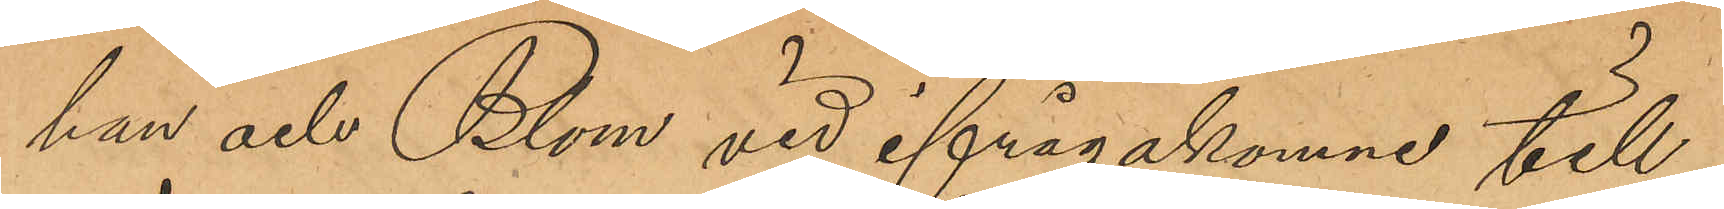han och Blom vid ifrågakomne till¬
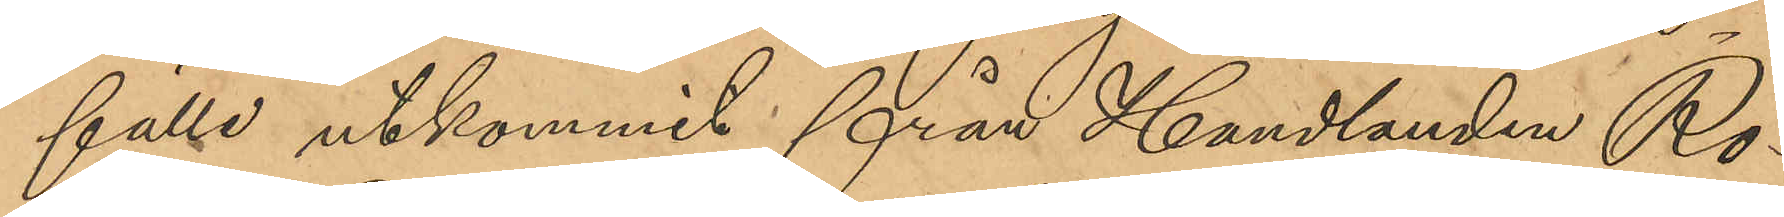fälle utkommit från Handlanden Ro¬
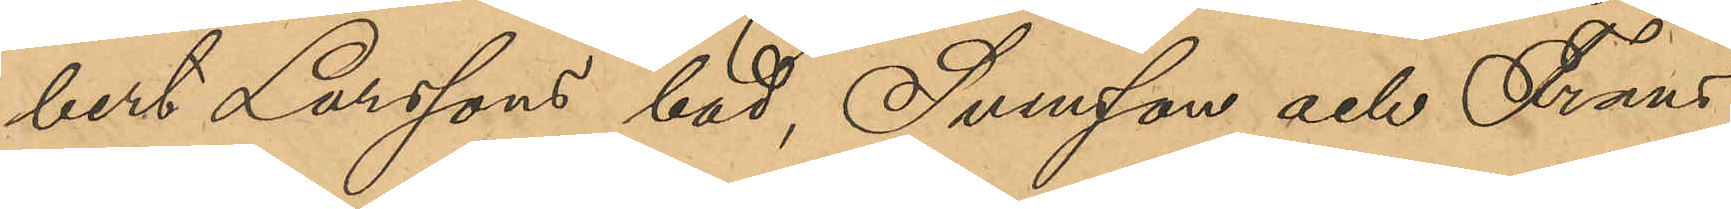bert Larssons bod, Svensson och Frans
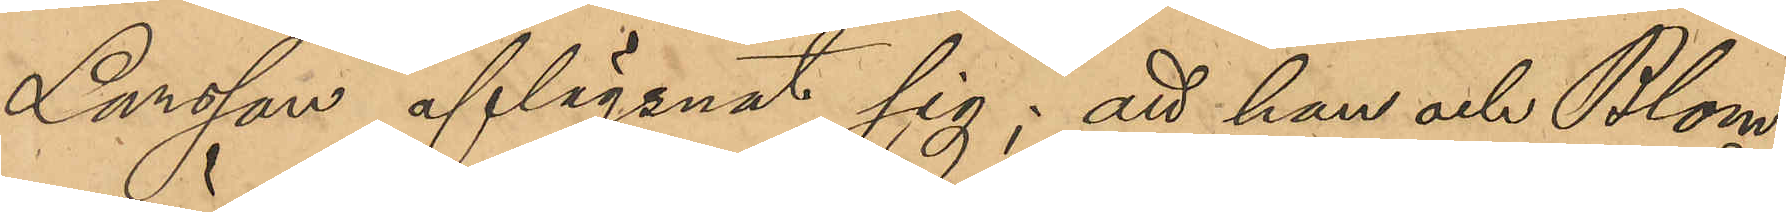Larsson aflägsnat sig; att han och Blom
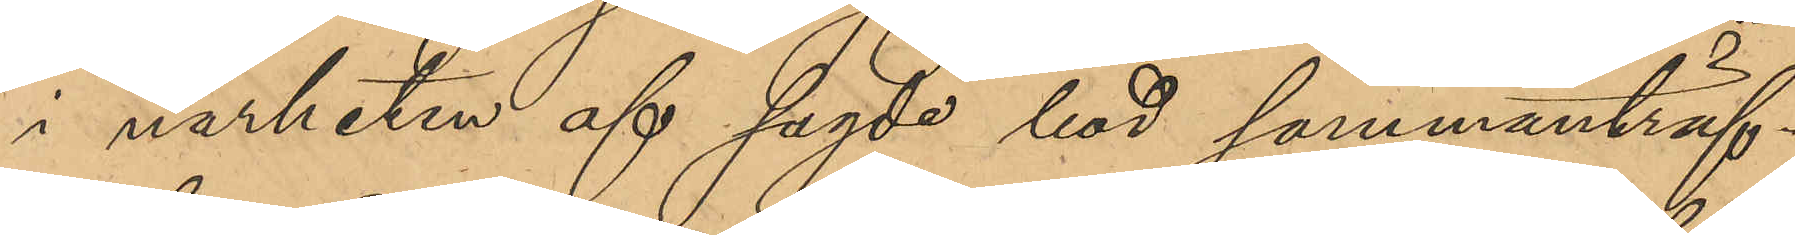i närheten af sagde hus sammanträf¬
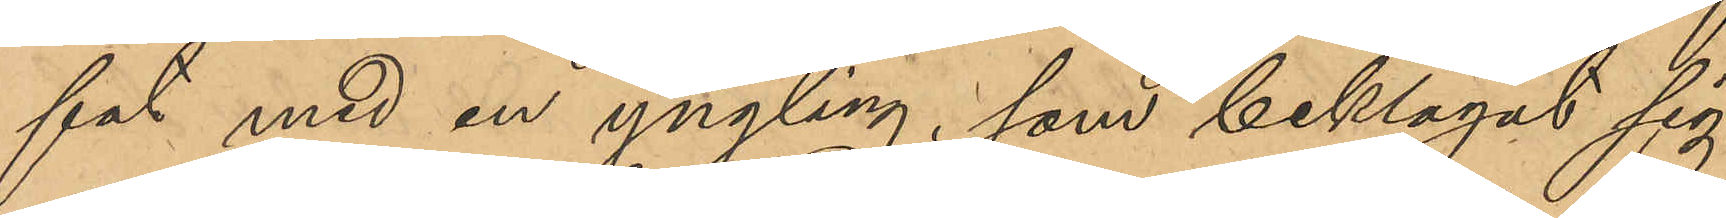fat med en yngling, som beklagat sig
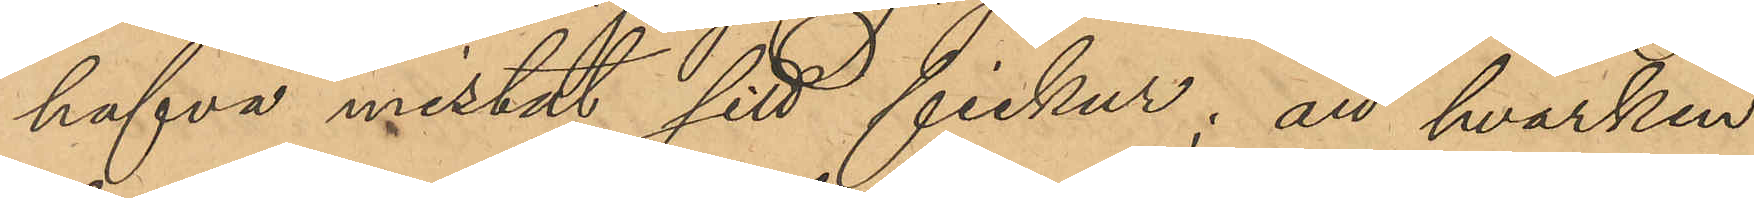hafva mistat sitt fickur; att hvarken
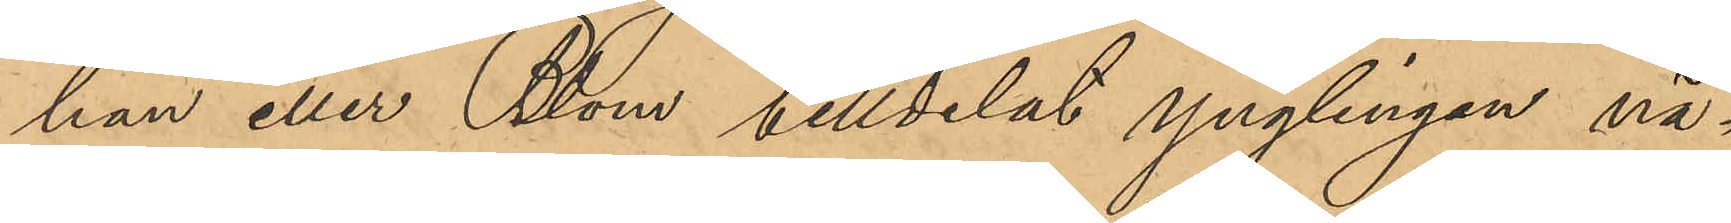han eller Blom tilldelat ynglingen nå¬
